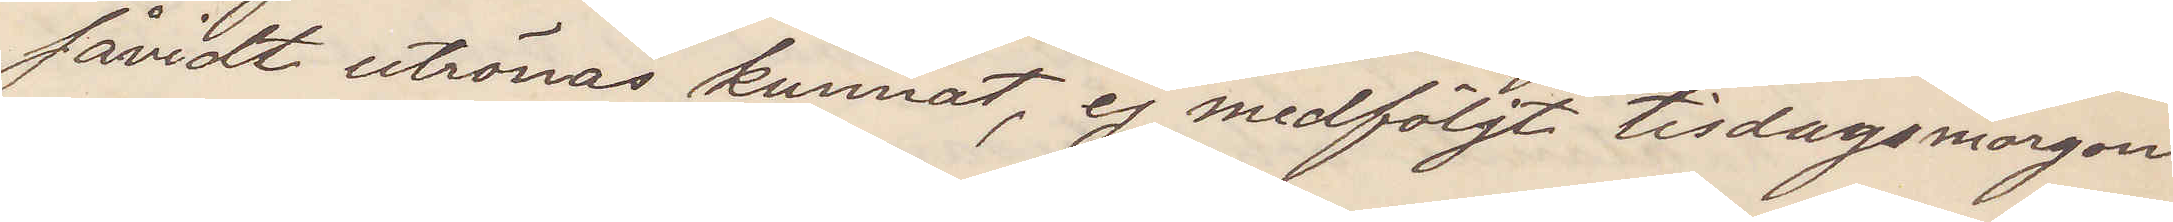såvidt utrönas kunnat, ej medföljt tisdagsmorgon
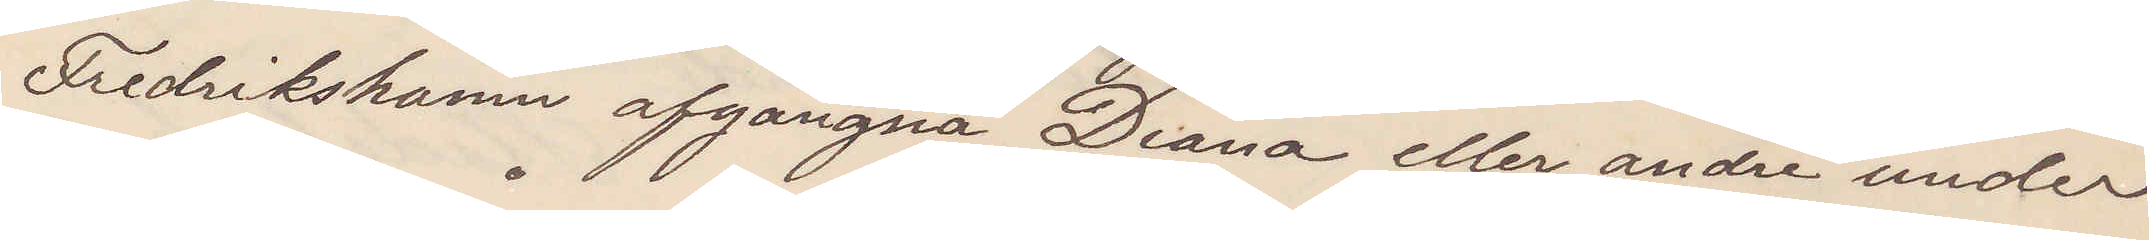Fredrikshamn afgångna Diana eller andre under
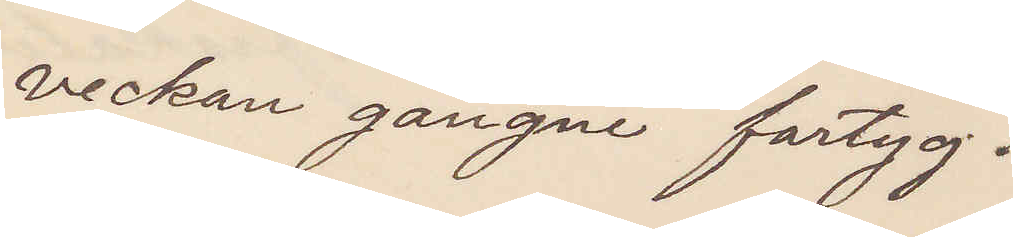veckan gångne fartyg.
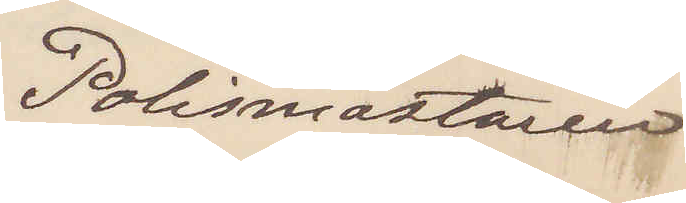Polismästaren
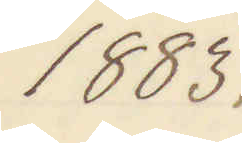1883.
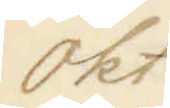okt
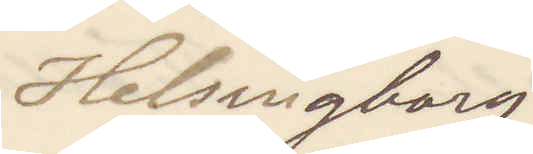Helsingborg
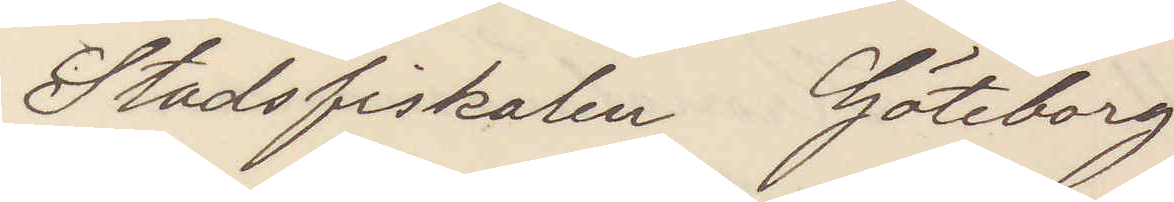Stadsfiskalen Göteborg
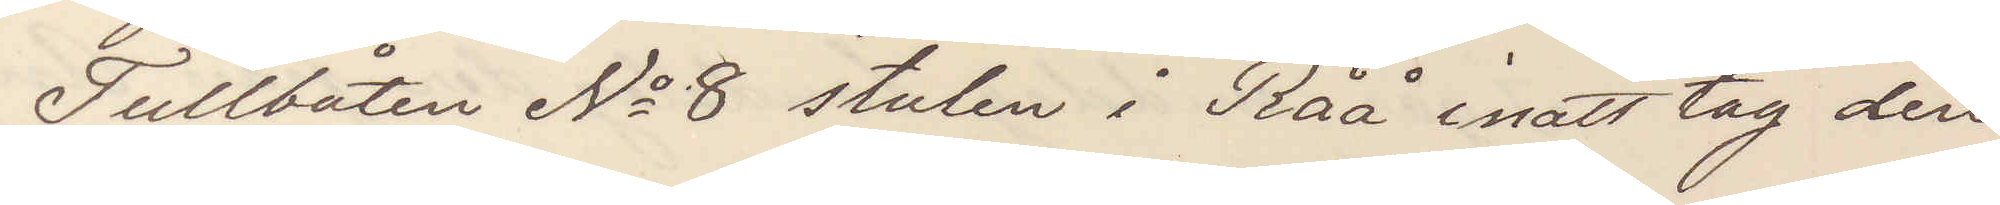Tullbåten No 8 stulen i Råå inatt tag den
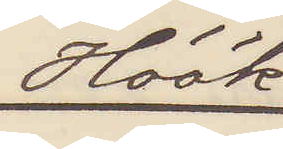Höök
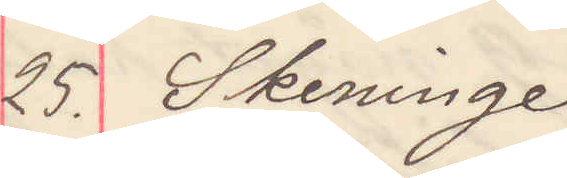25. Skeninge
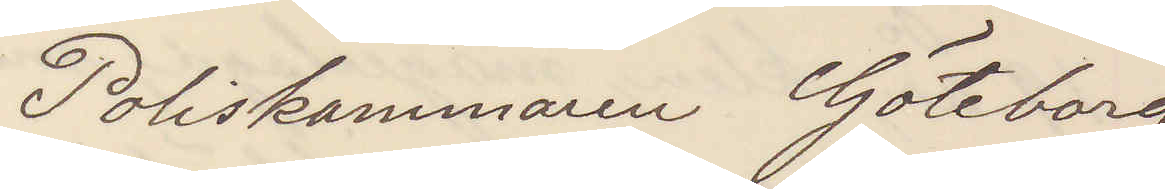Poliskammaren Göteborg
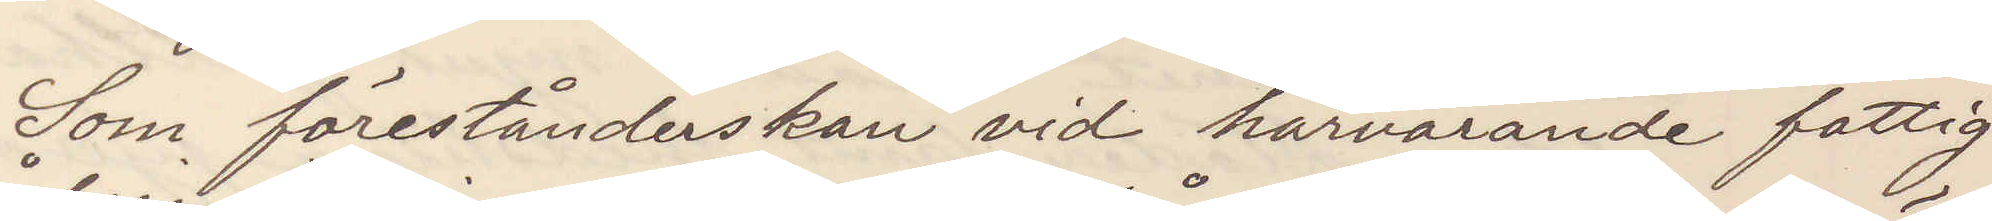Som förestånderskan vid härvarande fattig¬
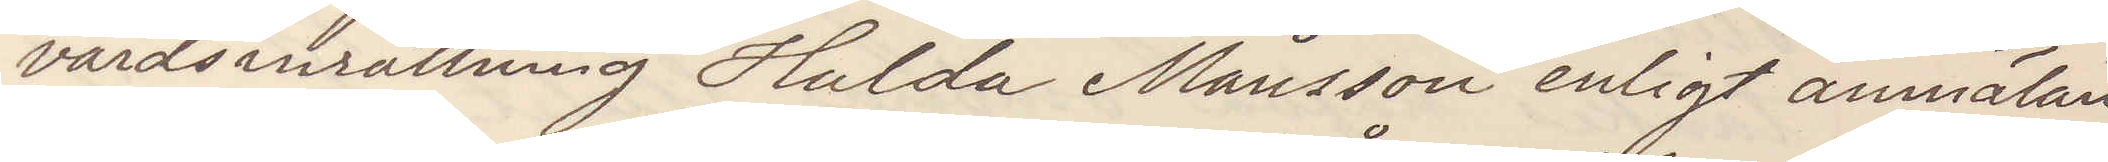vårdsinrättning Hulda Månsson enligt anmälan
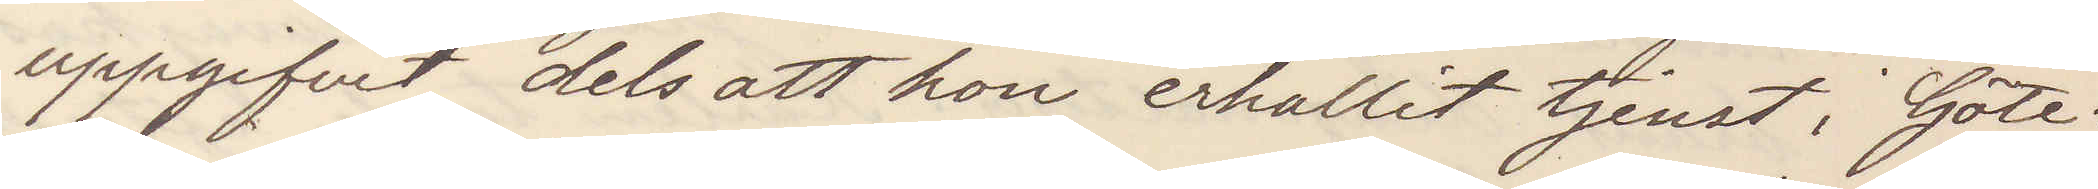uppgifvit dels att hon erhållit tjenst i Göte¬
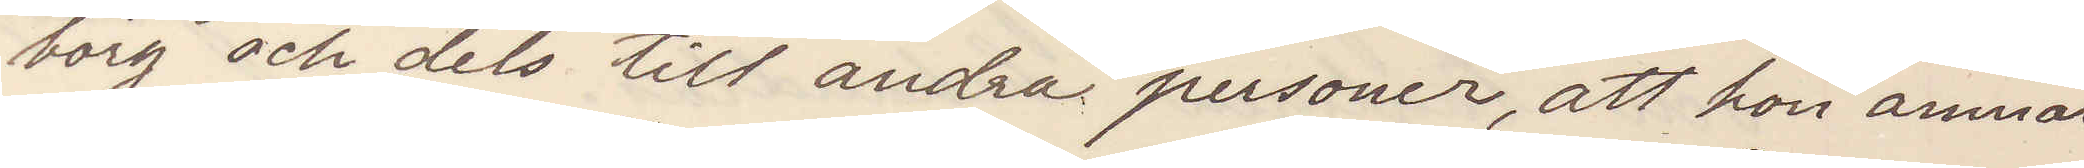borg och dels till andra personer, att hon amnar
